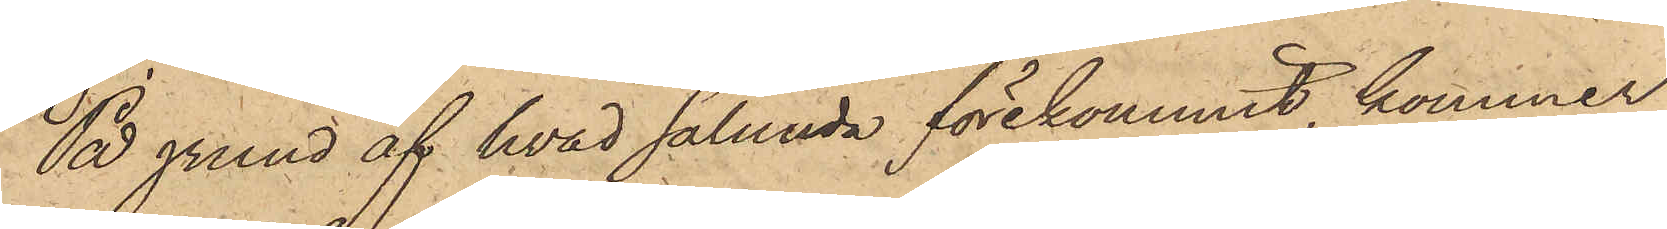På grund af hvad sålunda förekommit, kommer
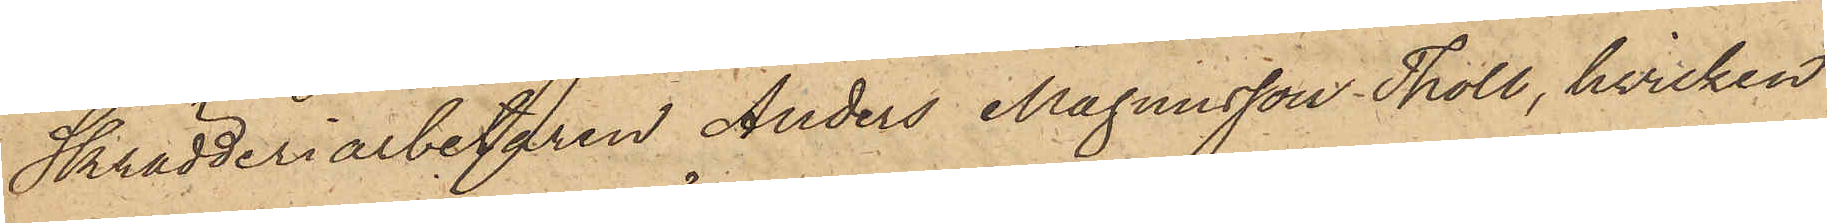Skrädderiarbetaren Anders Magnusson Tholl, hvilken
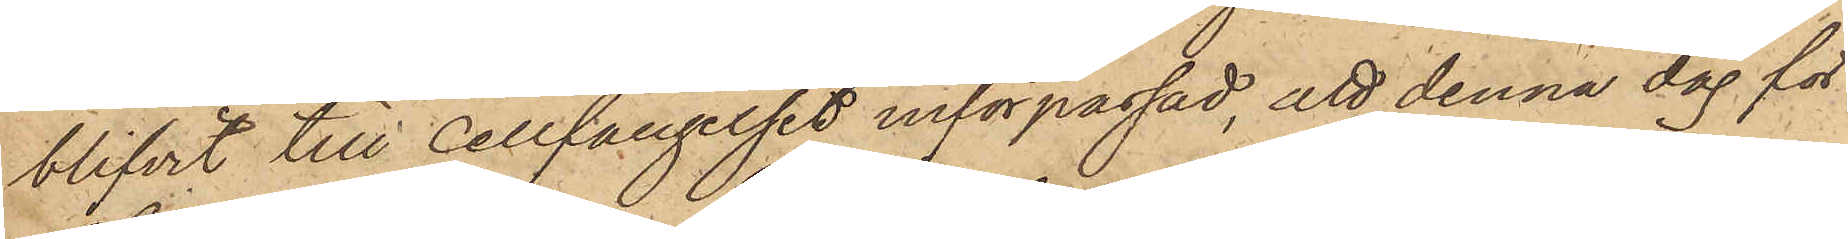blifvit till cellfängelset införpassad, att denna dag för
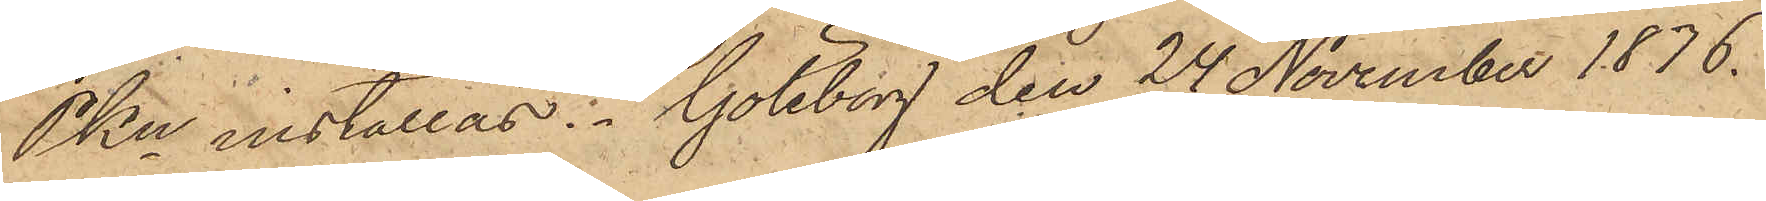PKn inställas. Göteborg den 24 November 1876.
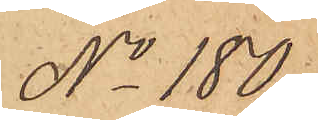No 180.
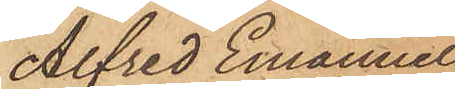Alfred Emanuel
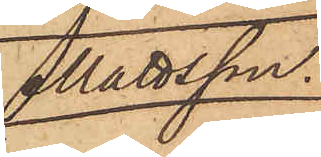Mattsson.
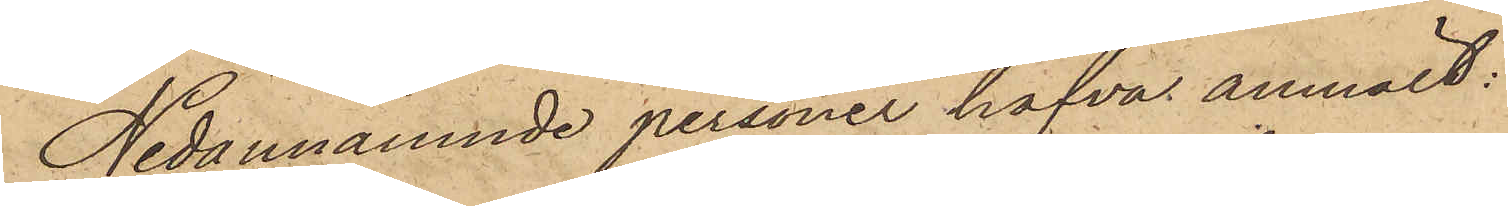Nedannämnde personer hafva anmält:
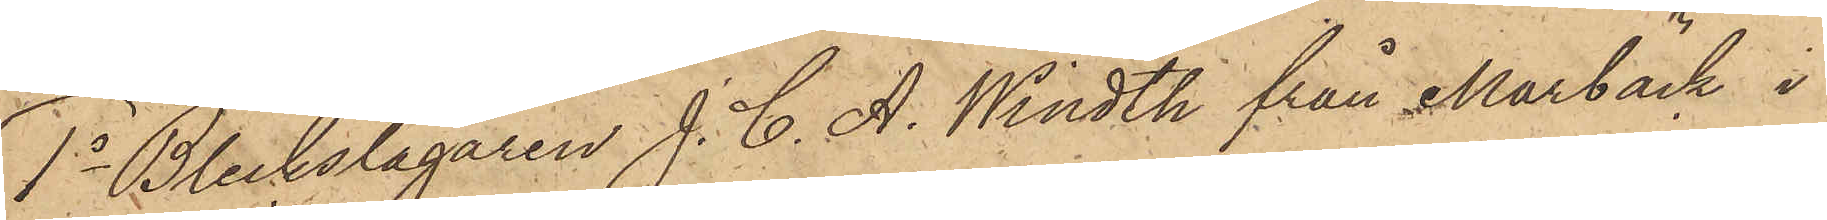1o Bleckslagaren J. C. A. Windth från Marbäck i
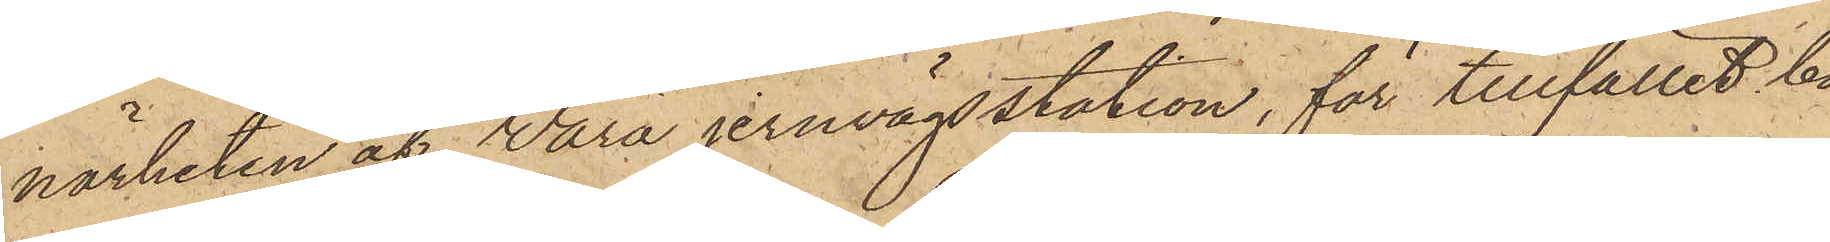närheten af Wara jernvägsstation, för tillfället bo¬
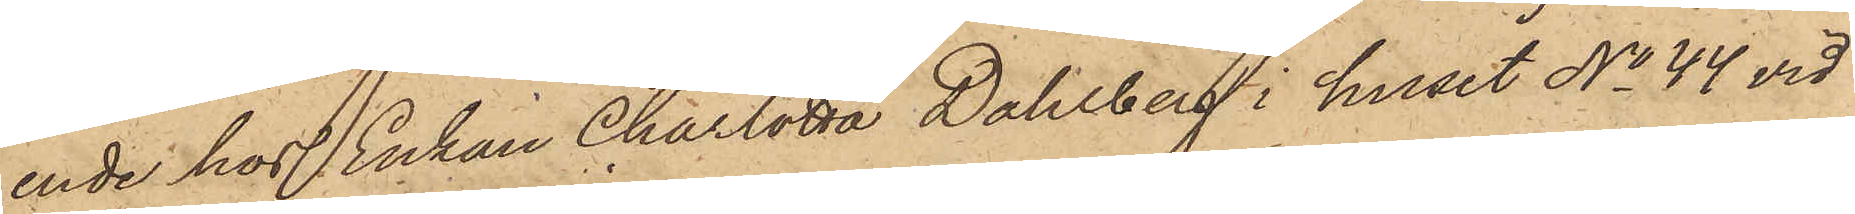ende hos Enkan Charlotta Dahlberg i huset No 44 vid
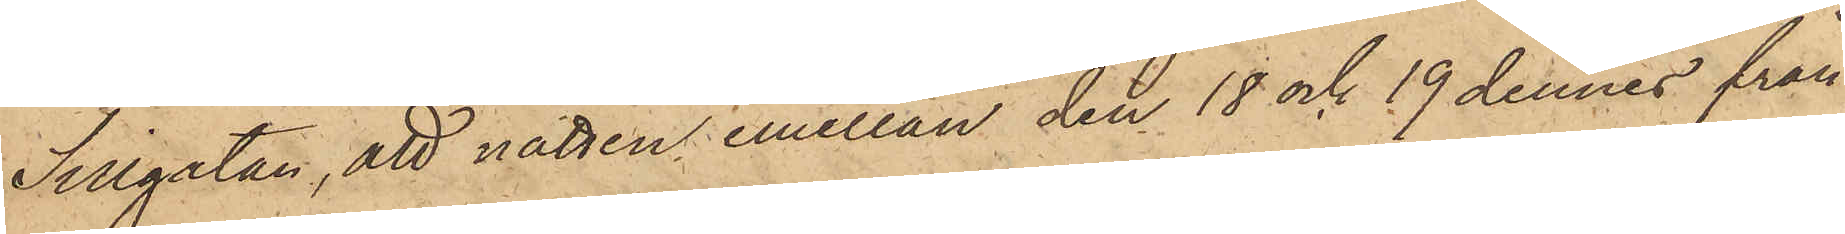Sillgatan, att natten emellan den 18 och 19 dennes från
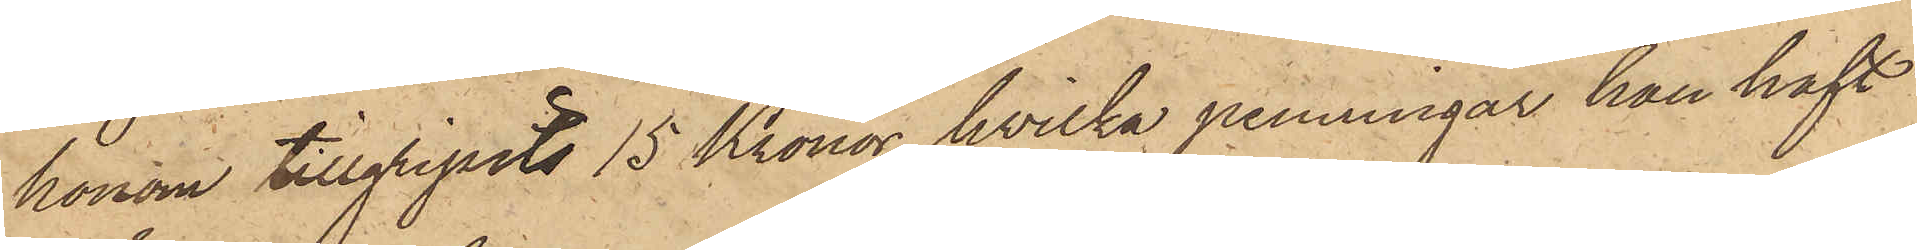honom tillgripits 15 Kronor, hvilka penningar han haft
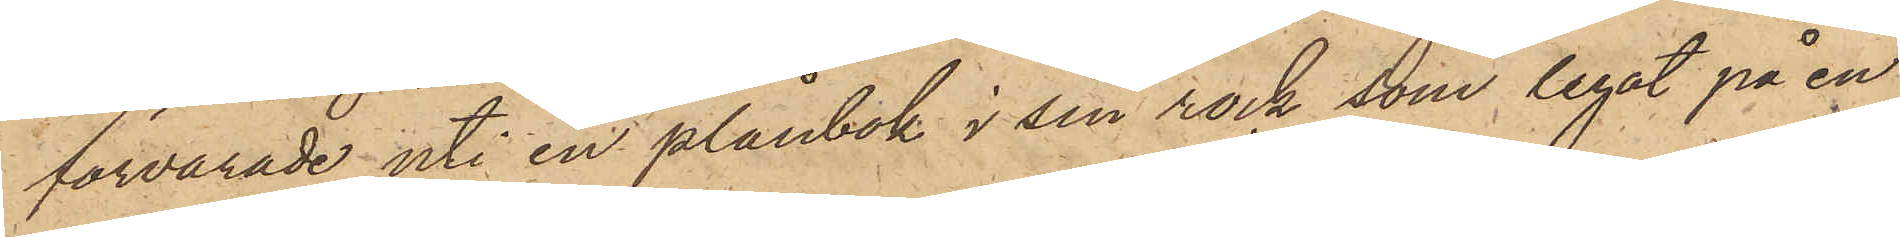förvarade uti en plånbok i sin rock, som legat på en
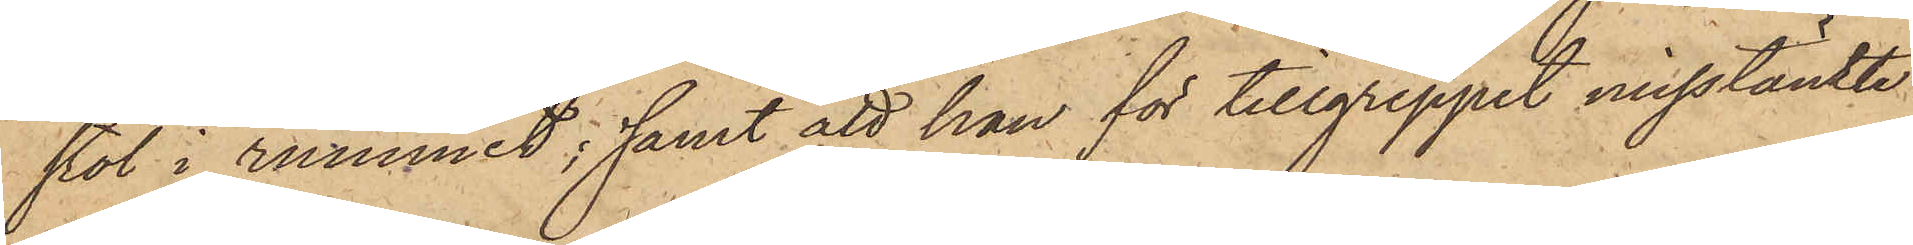stol i rummet; samt att han för tillgreppet misstänkte
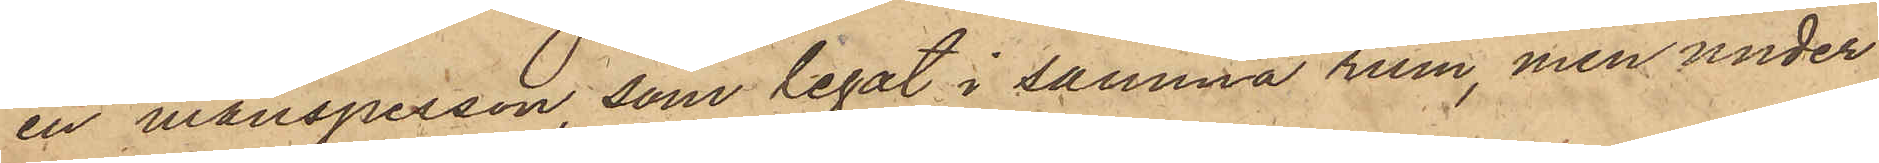en mansperson, som legat i samma rum, men under
